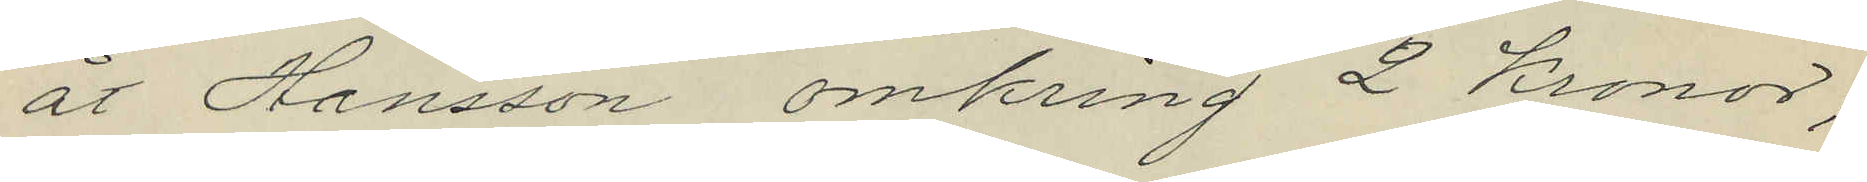åt Hansson omkring 2 Kronor;
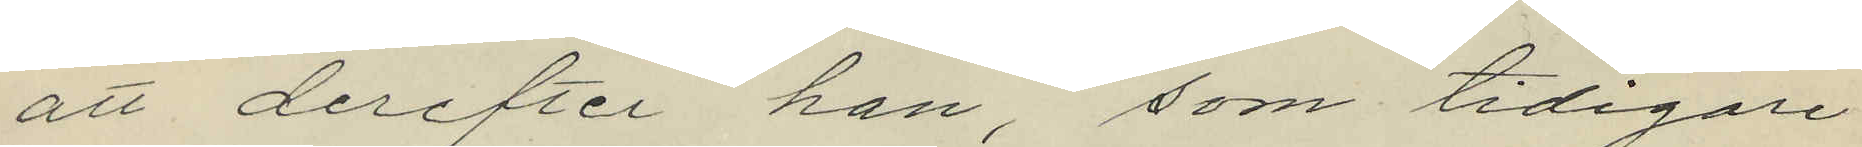att derefter han, som tidigare
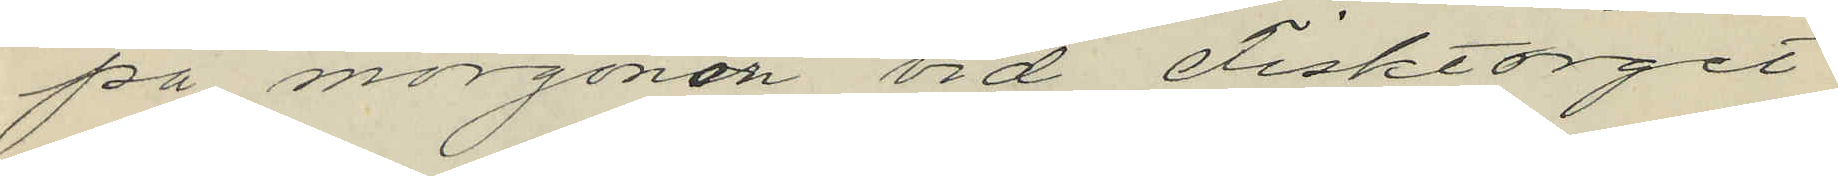på morgonen vid Fisktorget
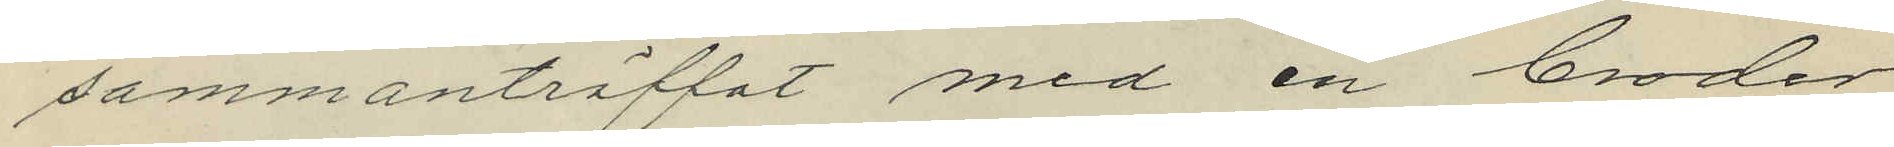sammanträffat med en broder
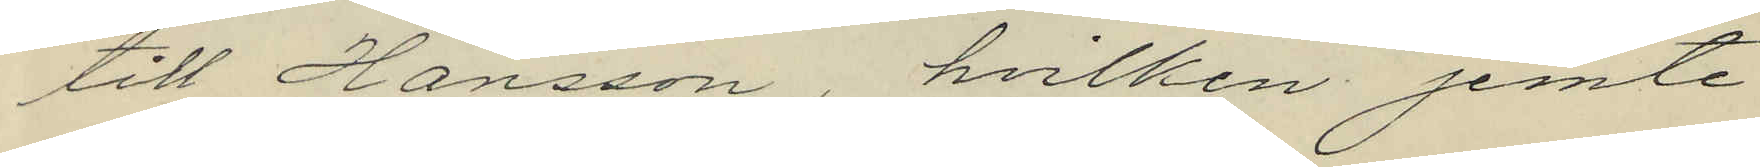till Hansson, hvilken jemte
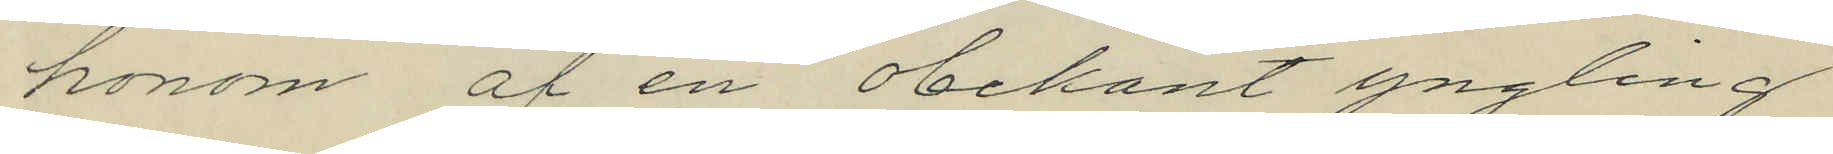honom af en obekant yngling
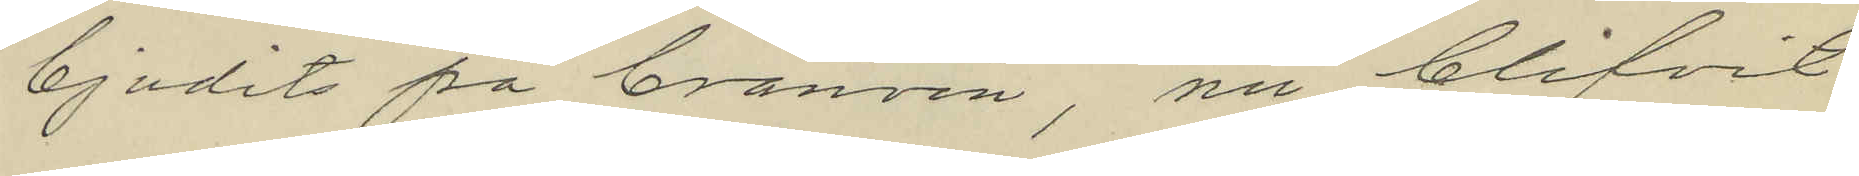bjudits på bränvin, nu blifvit
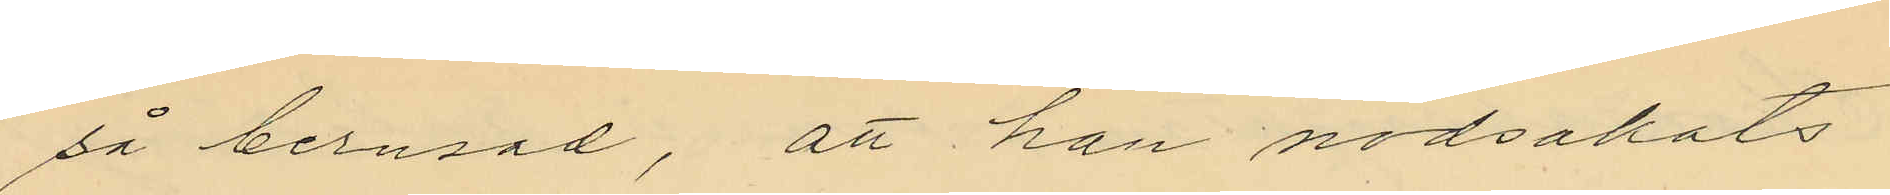så berusad, att han nödsakats
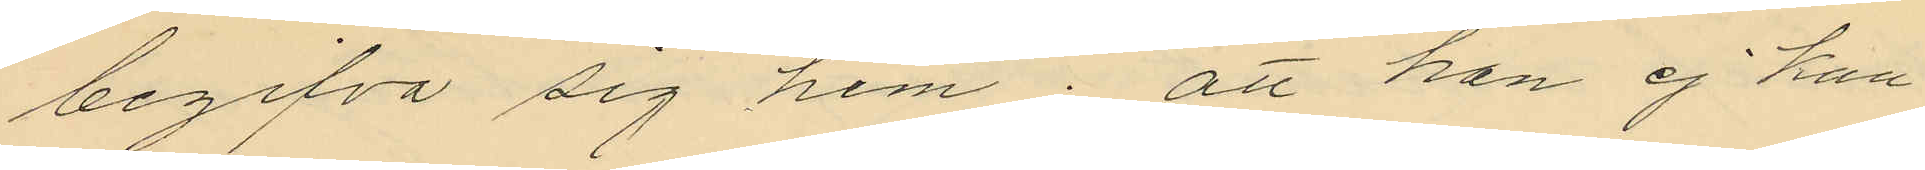begifva sig hem; att han ej kun¬
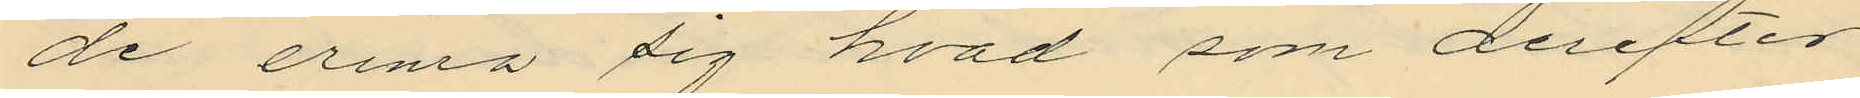de erina sig hvad som derefter
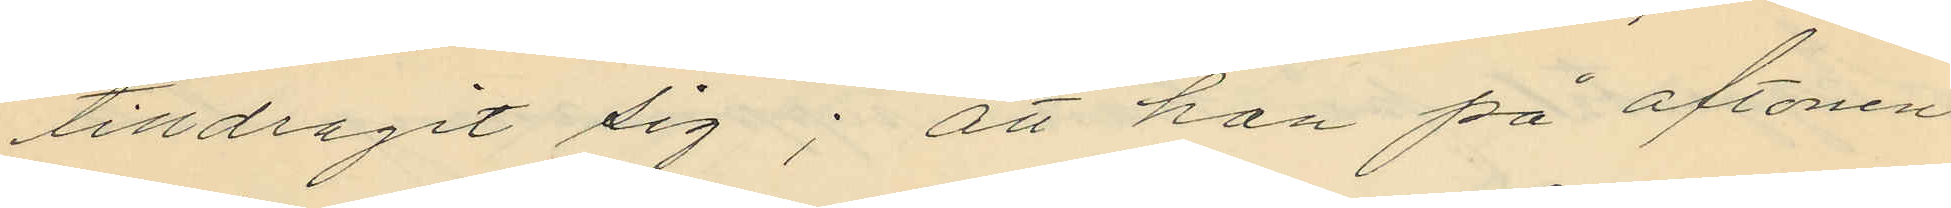tilldragit sig; att han på aftonen
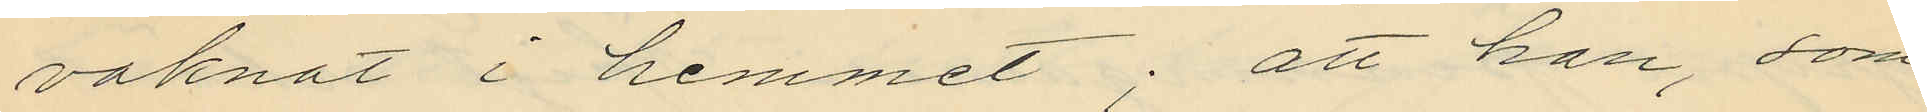vaknat i hemmet; att han, som
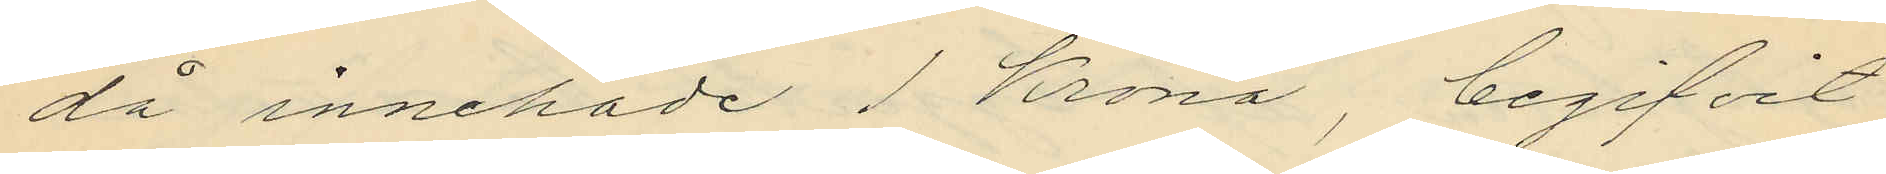då innehade 1 Krona, begifvit
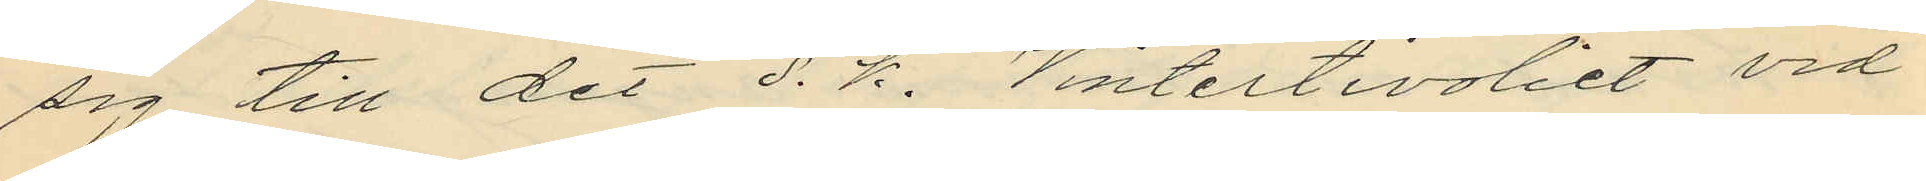sig till det s. k. Vintertivoliet vid
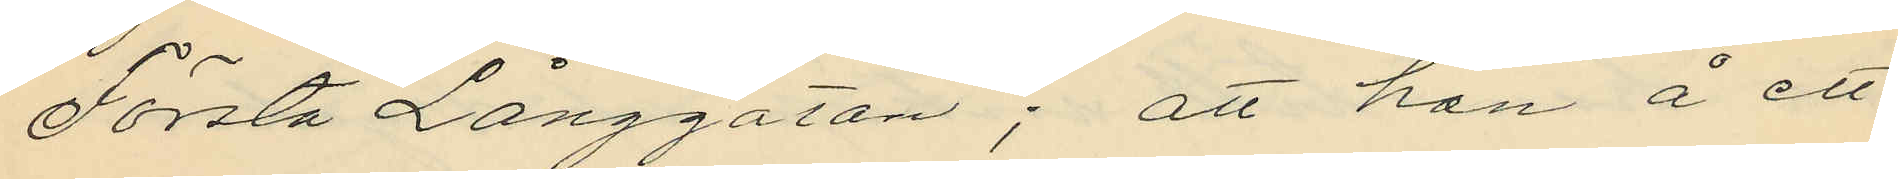Första Långgatan; att han å ett
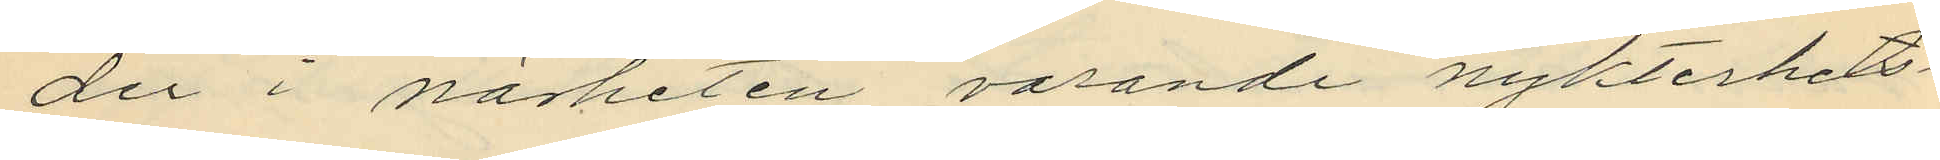der i närheten varande nykterhets¬
